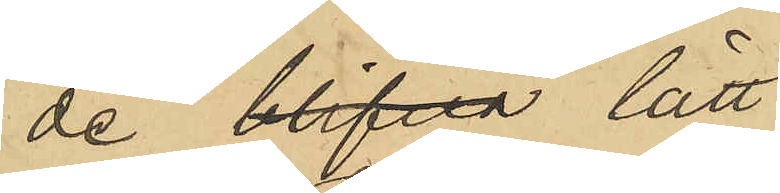de blifva lätt 
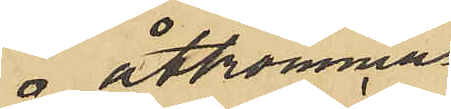åtkommas;
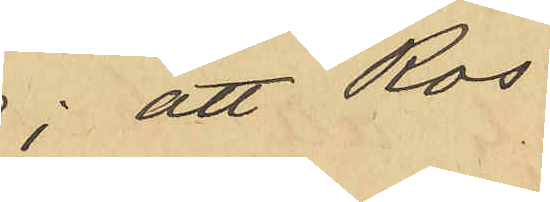att Ros 
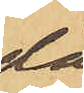då
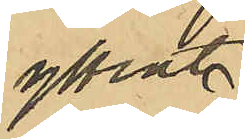yttrat: 
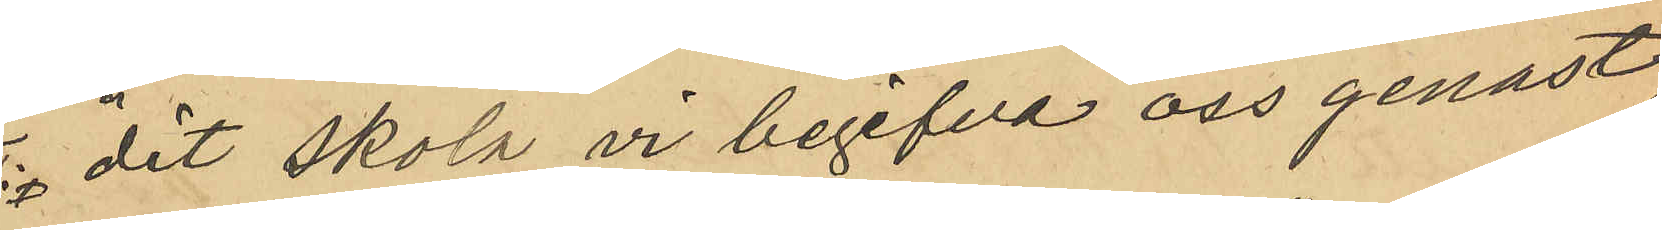"dit skola vi begifva oss genast,
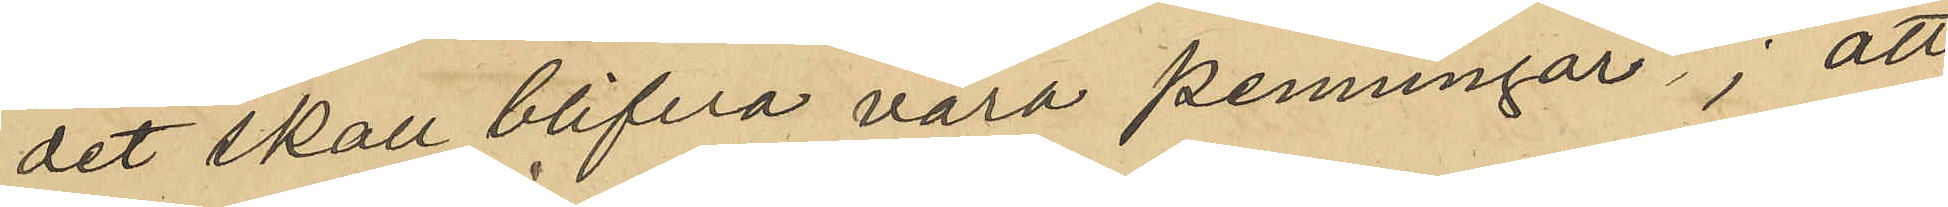det skall blifva våra penningar"; att
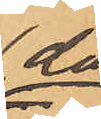då
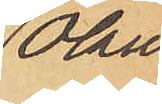Olaus¬
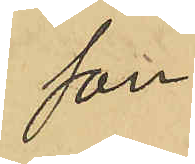son 
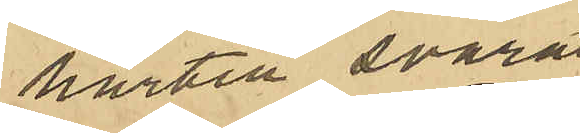härtill svarat
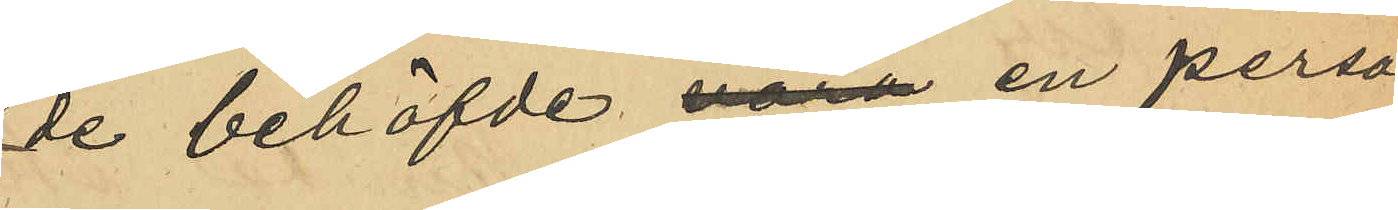de behöfvde vara en person
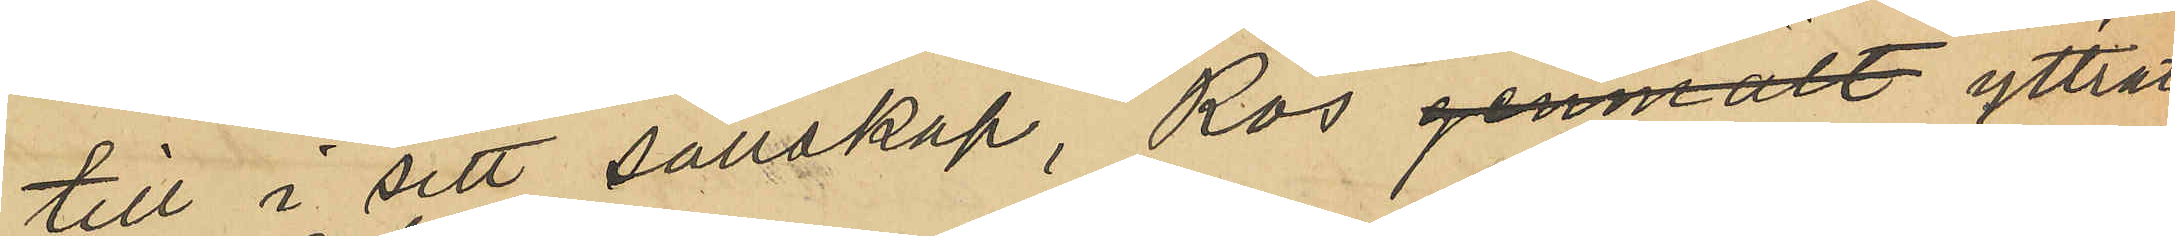till i sitt sällskap, Ros genmält yttrat:
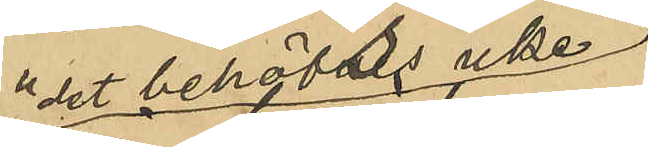"det behövs icke
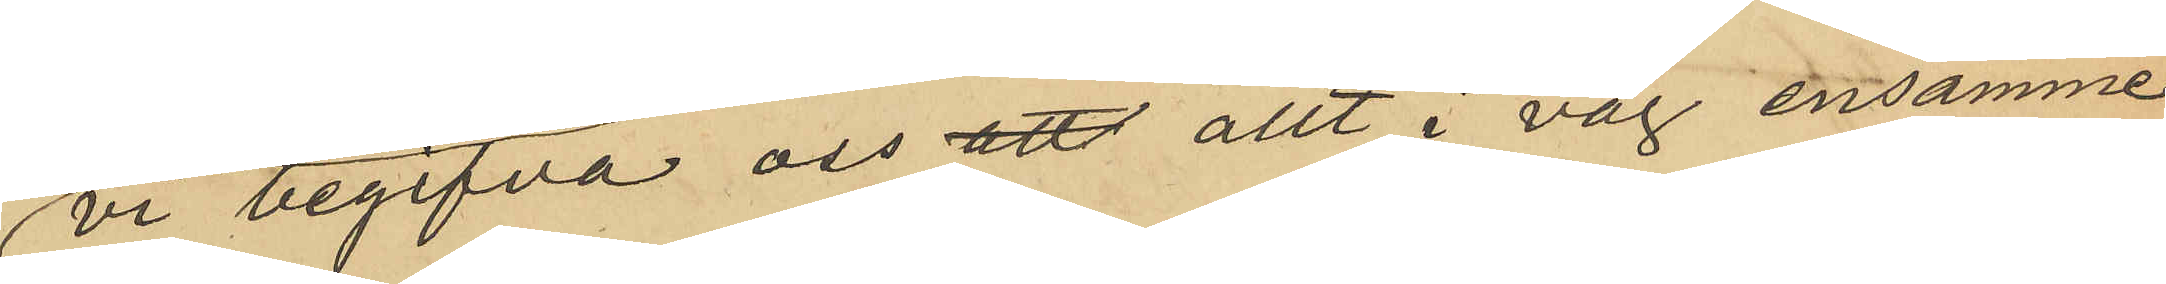vi begifva oss att allt i väg ensamme";
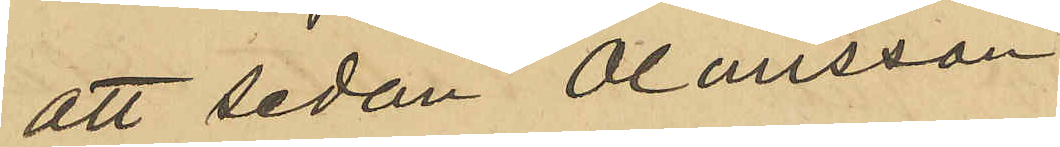att sedan Olausson 
